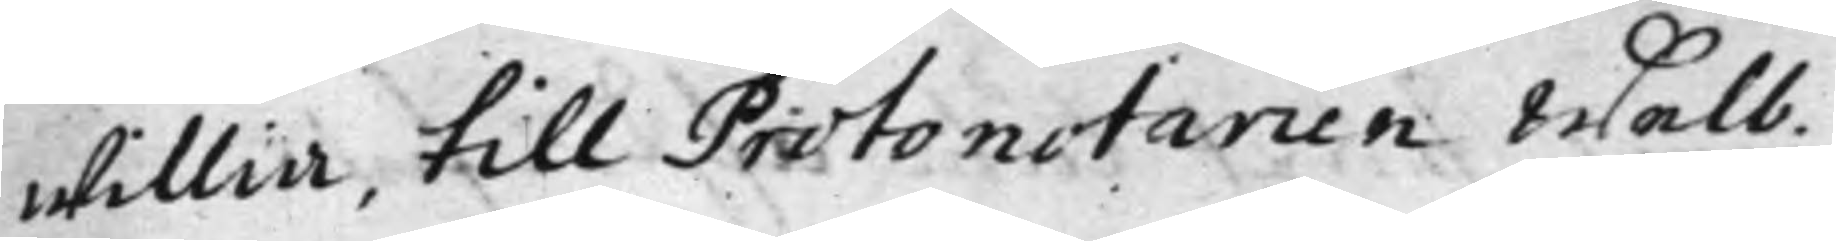willia, till Protonotarien Welb.
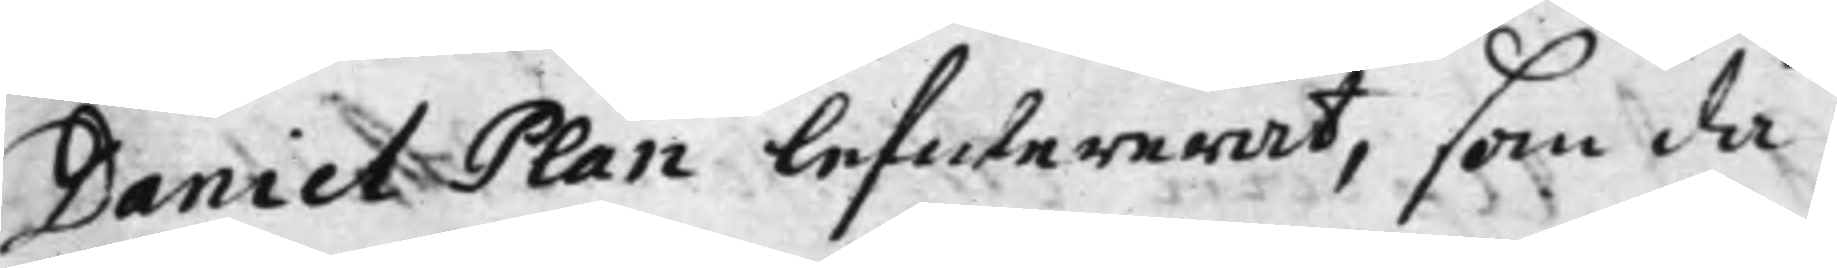Daniel Plan lefwererat, som då
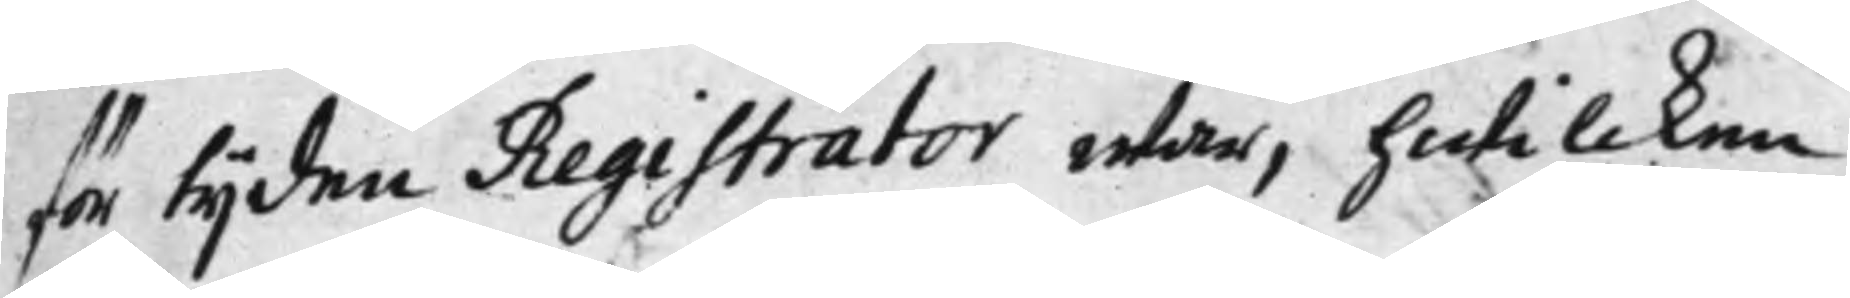för tijden Registrator war, hwilcken
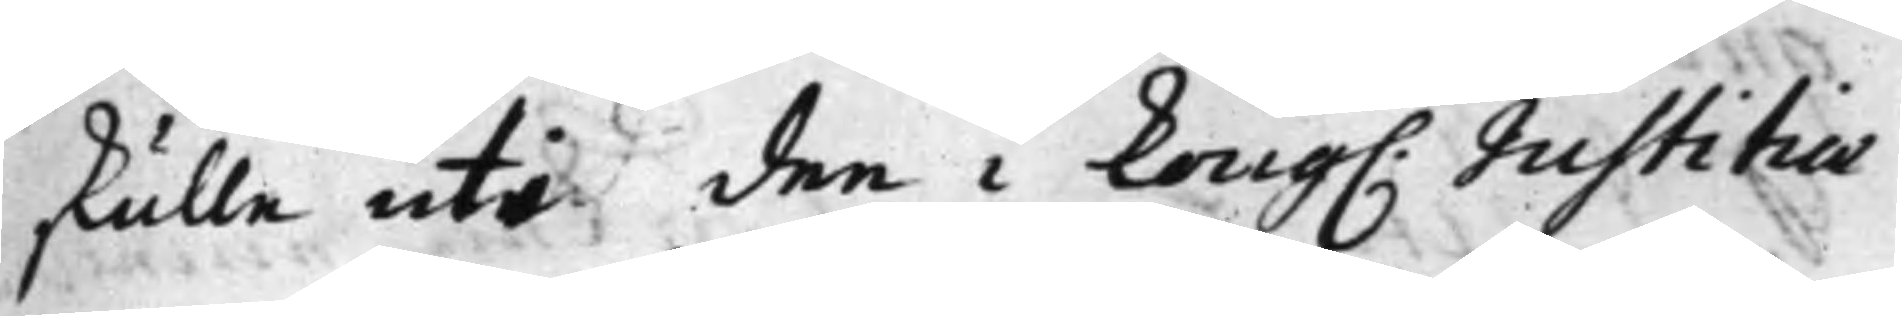skulle uti den i Kong. Justititiae
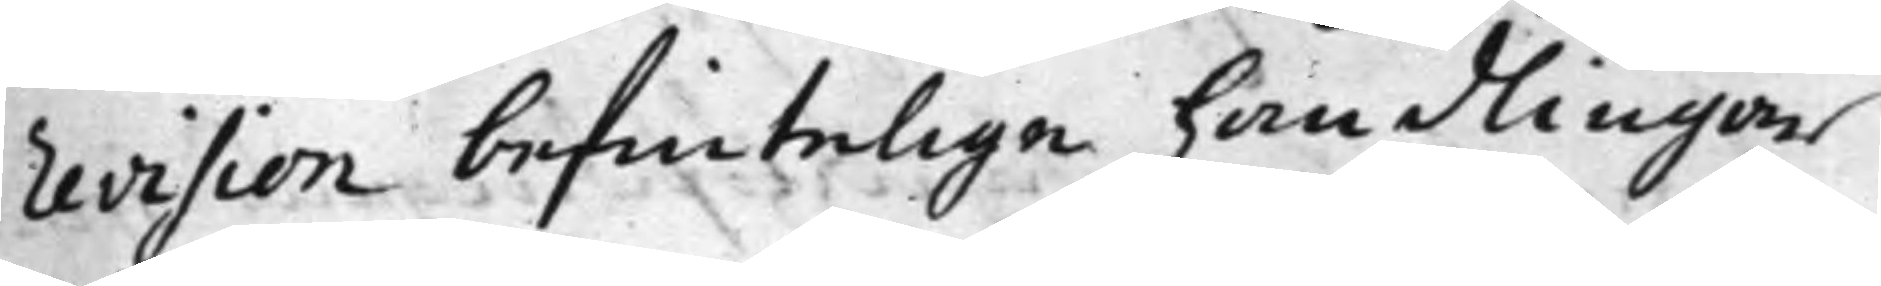revision befintelige handlingar
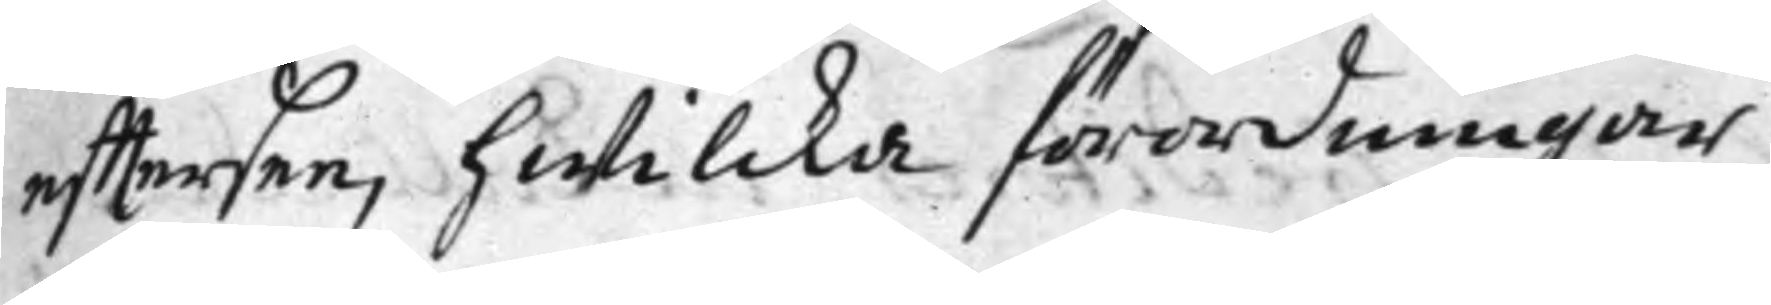eftersee, hwilcka förordningar
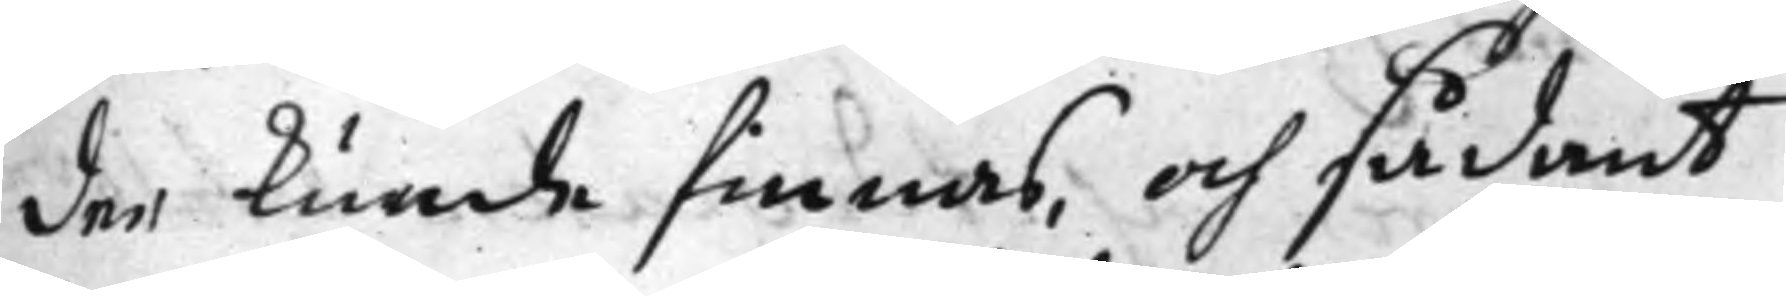der kunde finnas, och sådant
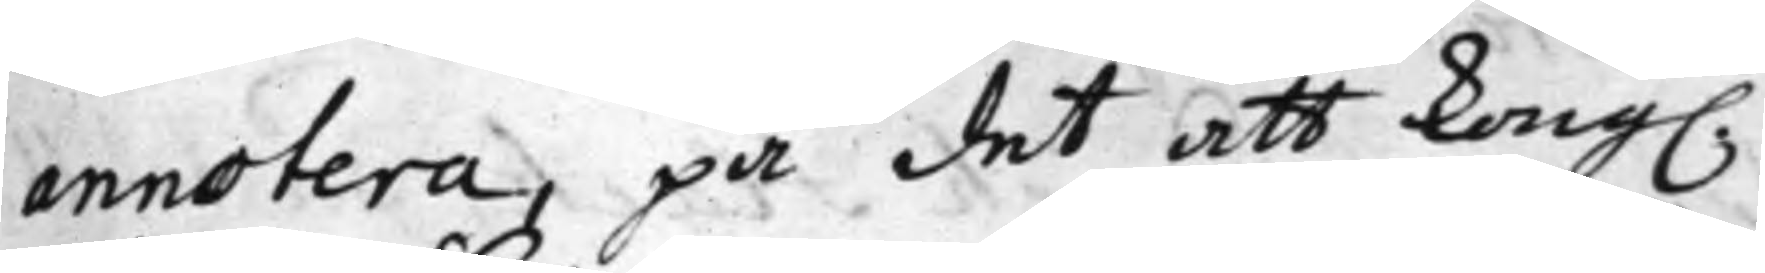annotera, på det att Kong.
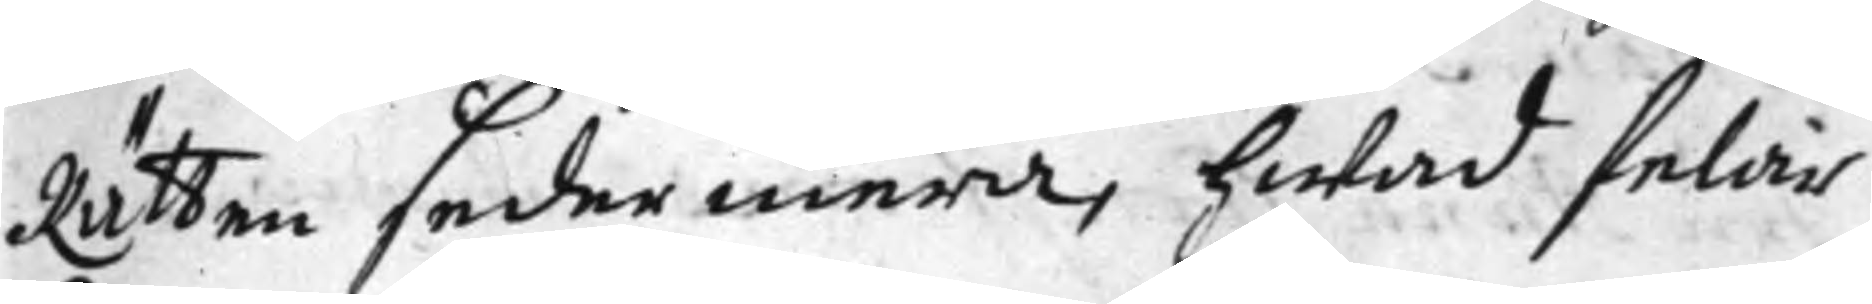Rätten sedermera, hwad felar
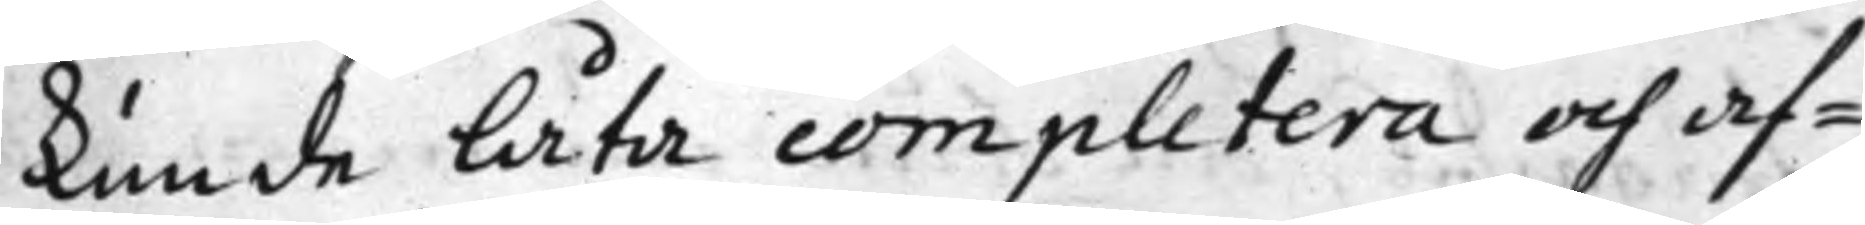kunde låta completera och af¬
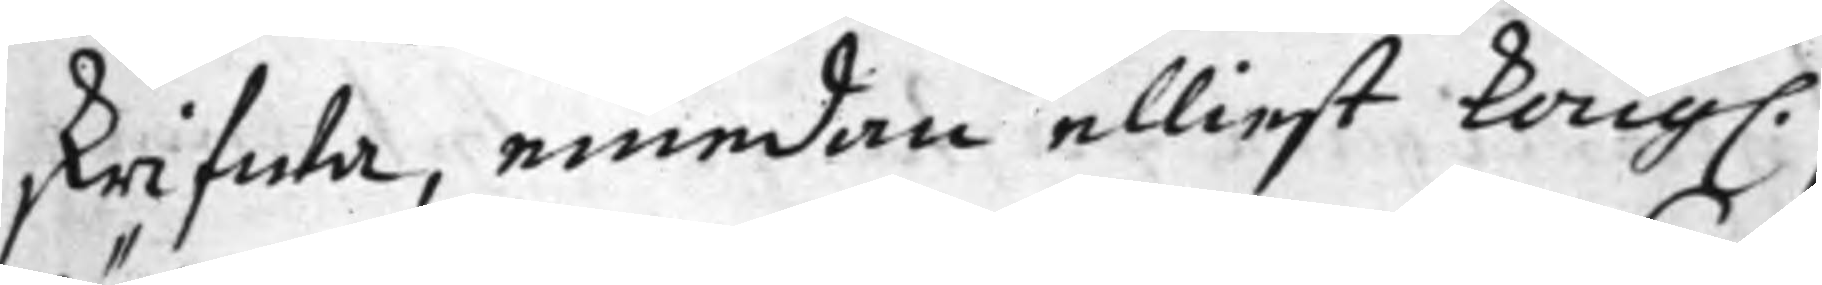skrifwa, emedan elliest Kong.
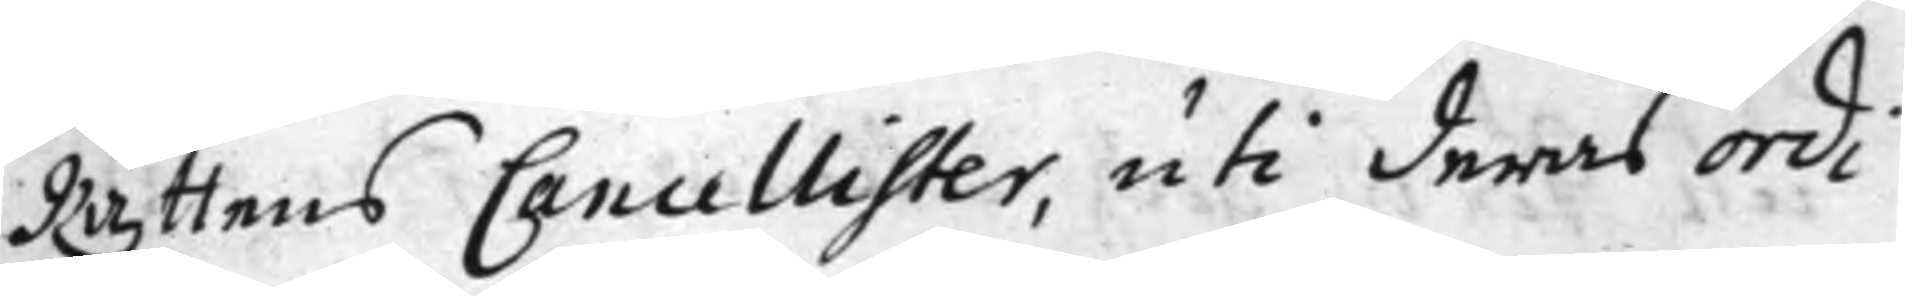Rättens Cancellister, uti deras ordi¬
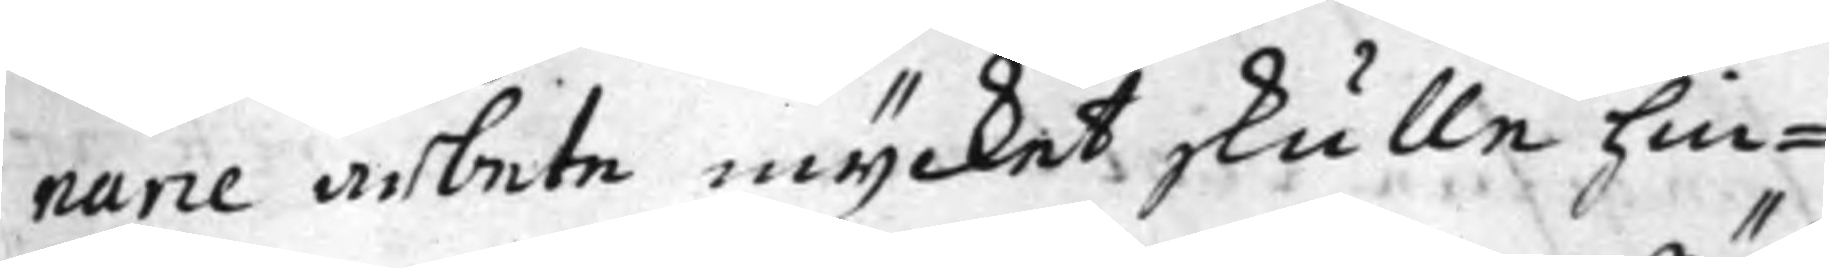narie arbete mycket skulle hin¬
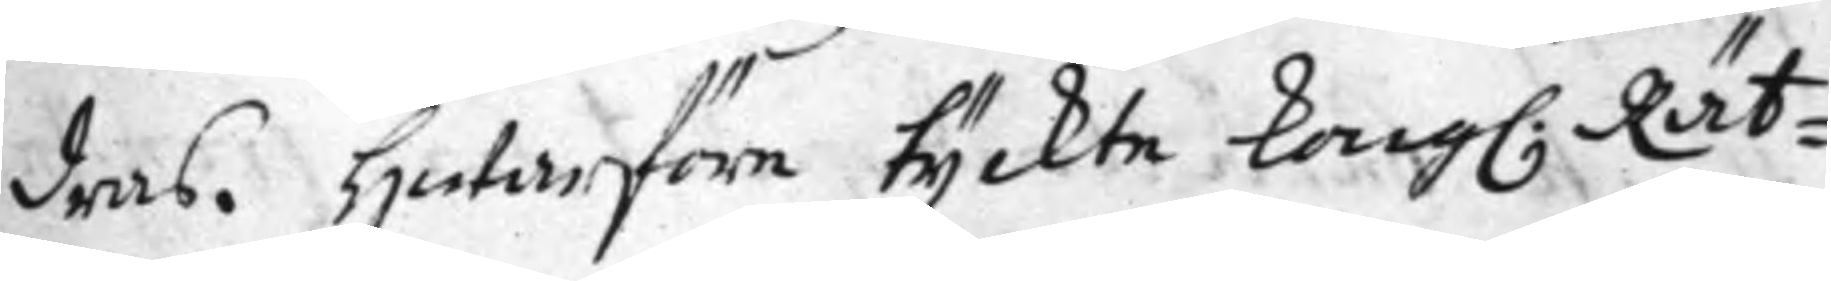dras. Hwarföre tyckte Kong. Rät¬
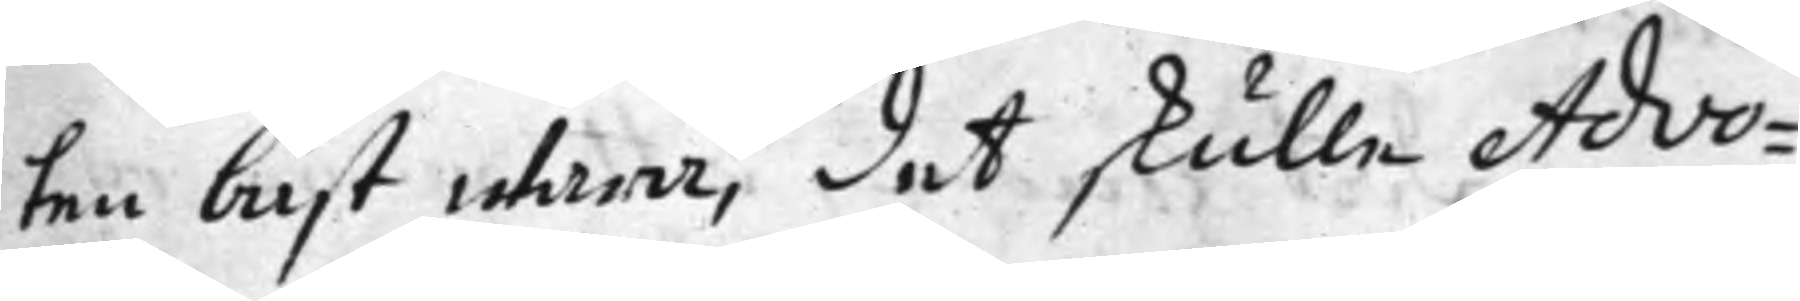ten bäst wara, det skulle Advo¬
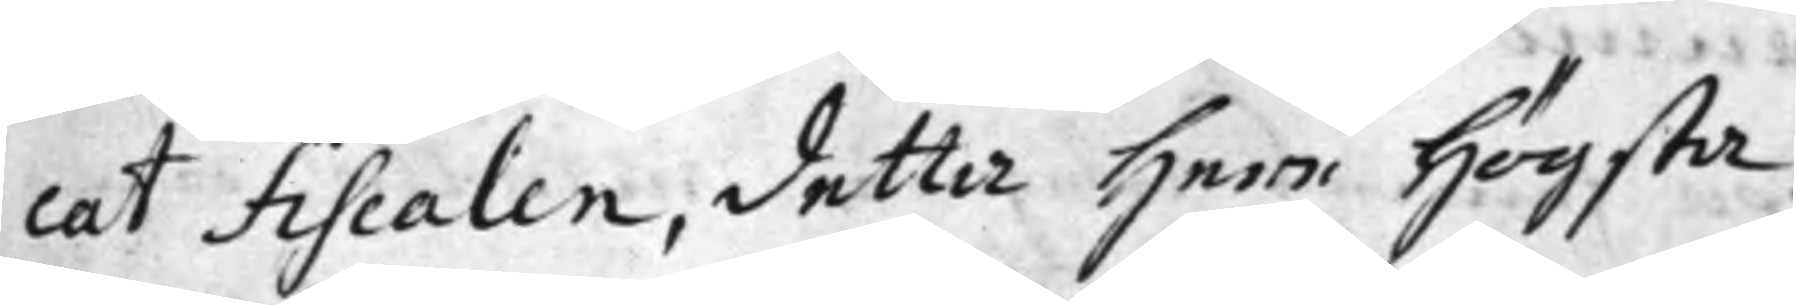cat Fiscalen, detta Herr Högsta
